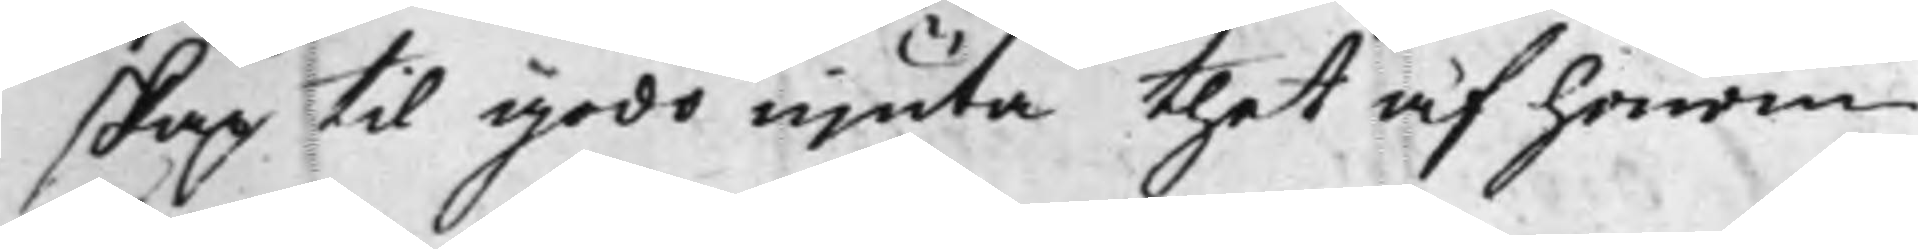skap til godo njuta thet af honom
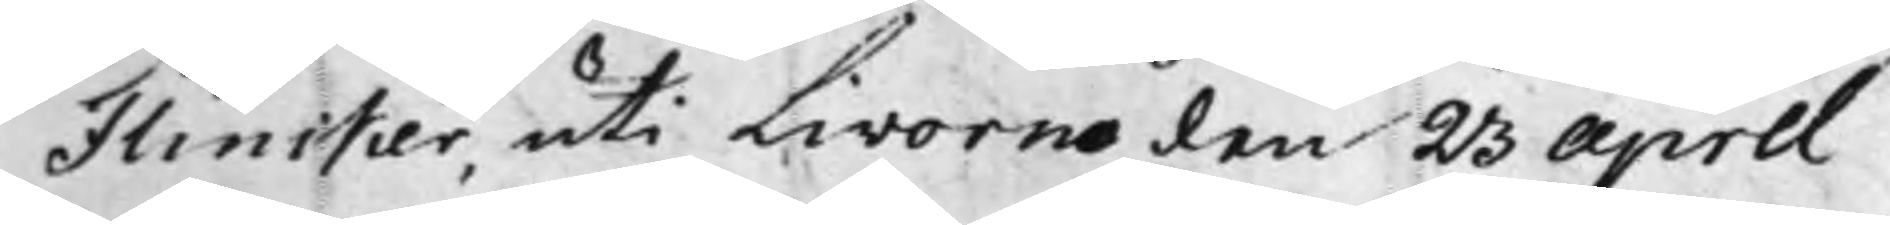Flincker, uti Livorno den 23 April
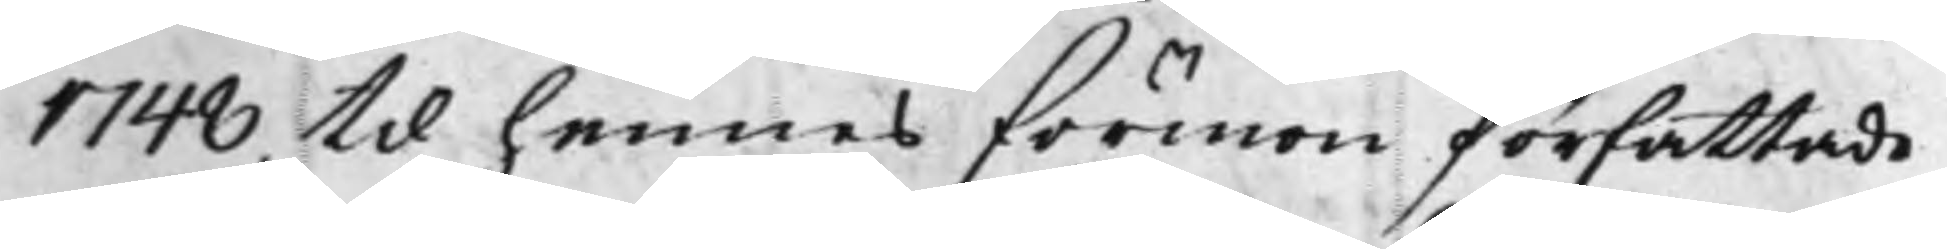1748 til hennes förmon författade
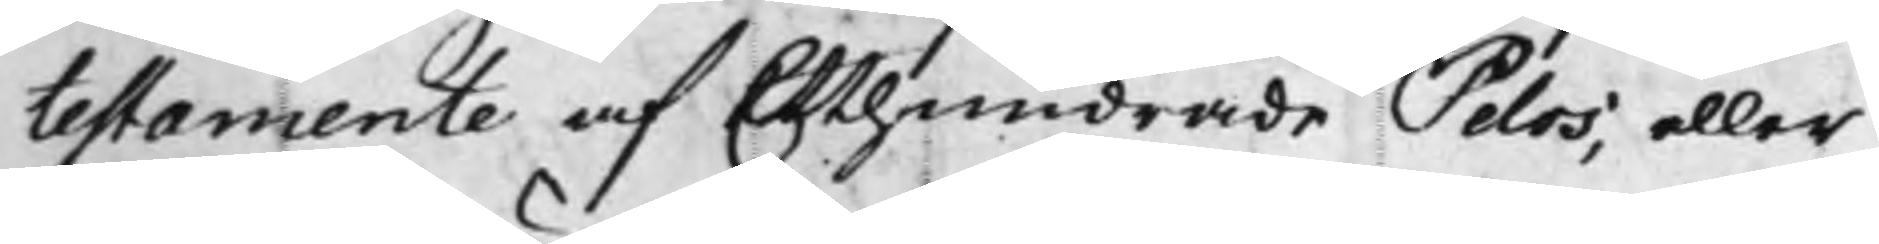testamente af Etthundrade Selos; eller
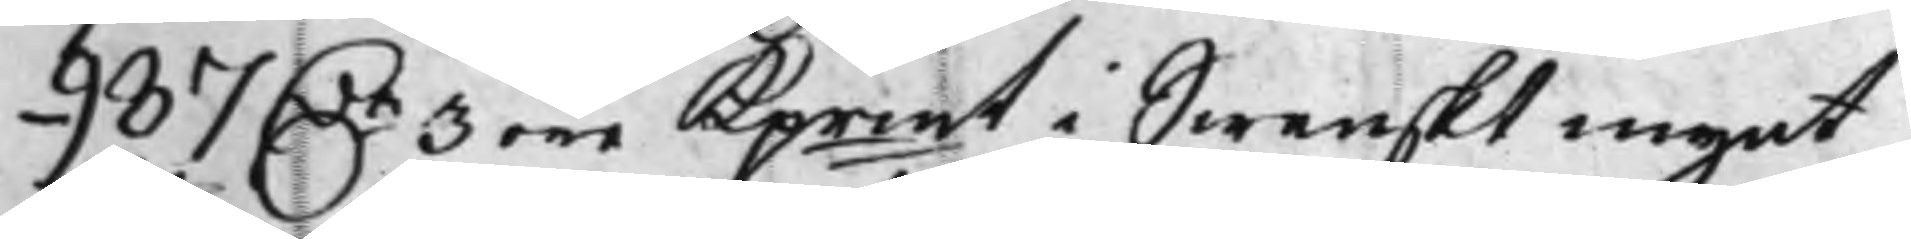987 Dr 3 öre Kprmt i Swenskt mynt, 
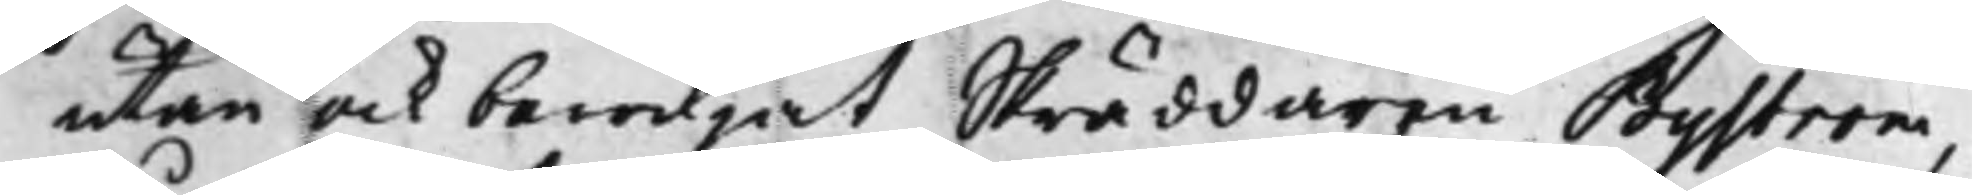utan ock bewiljat Skräddaren Byström,
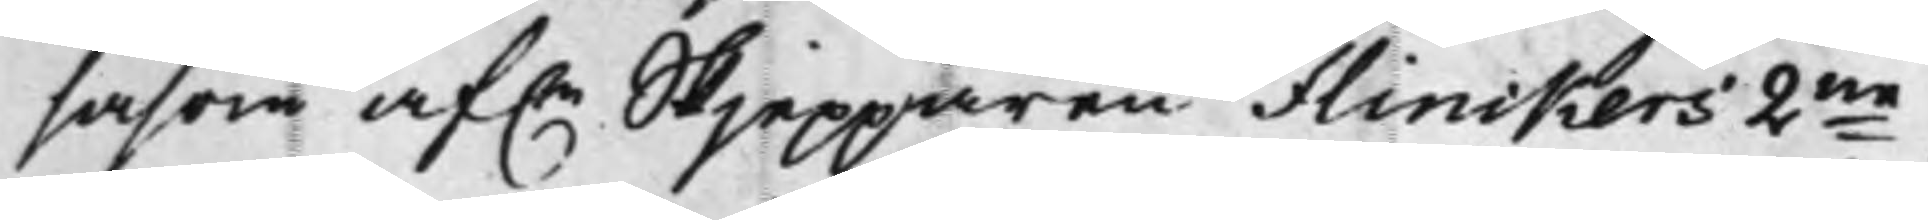såsom af.e Skjepparen Flinckers 2ne 
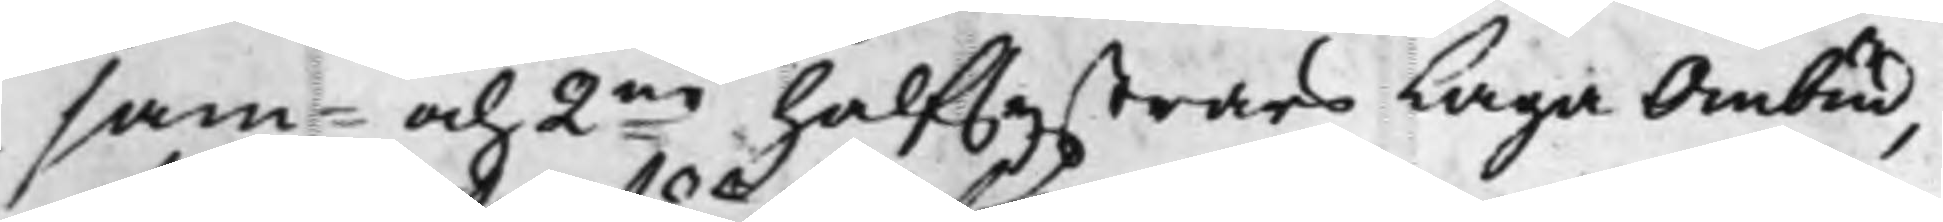sam- och 2ne halfsystrars Laga Ombud, 
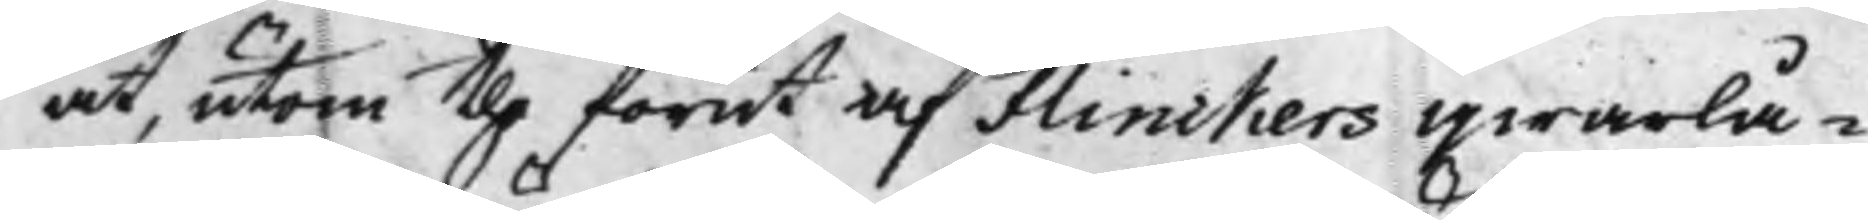at, utom the förut af Flinckers qwarlå¬
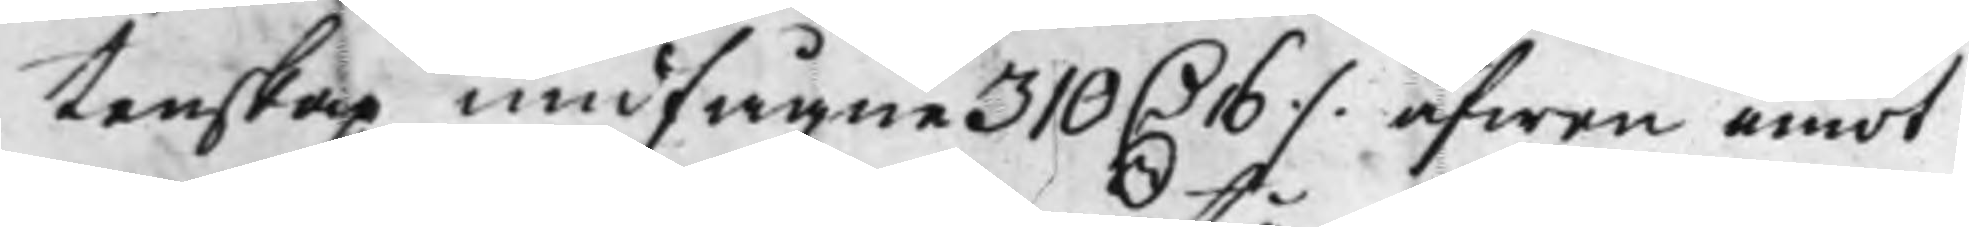tenskap undfågne 310 D. 16 ./. äfwen emot 
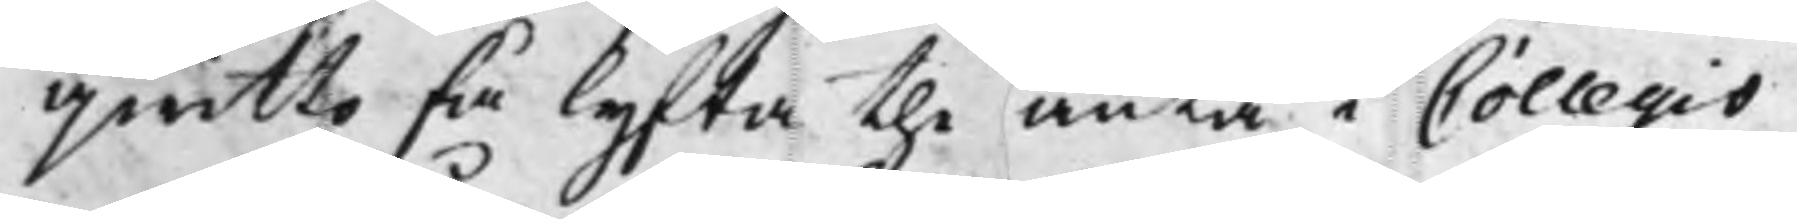qwitto få lyfta the äntå i Collegio
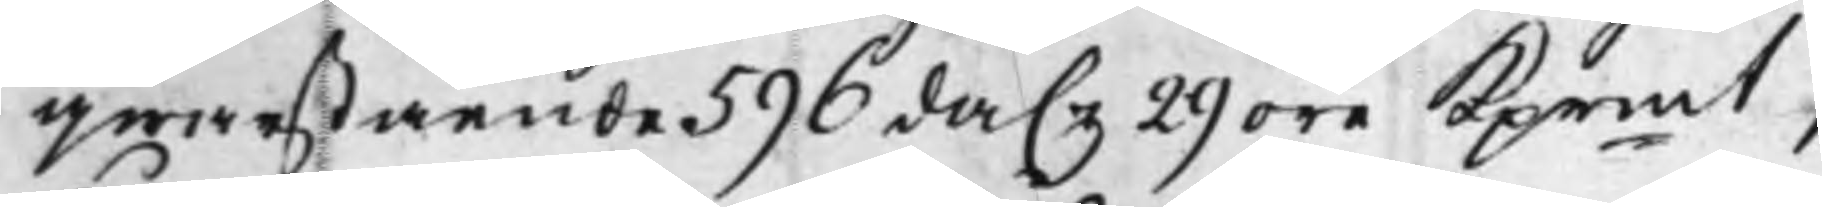qwarstående 596 da.r 29 öre Kprmt, 
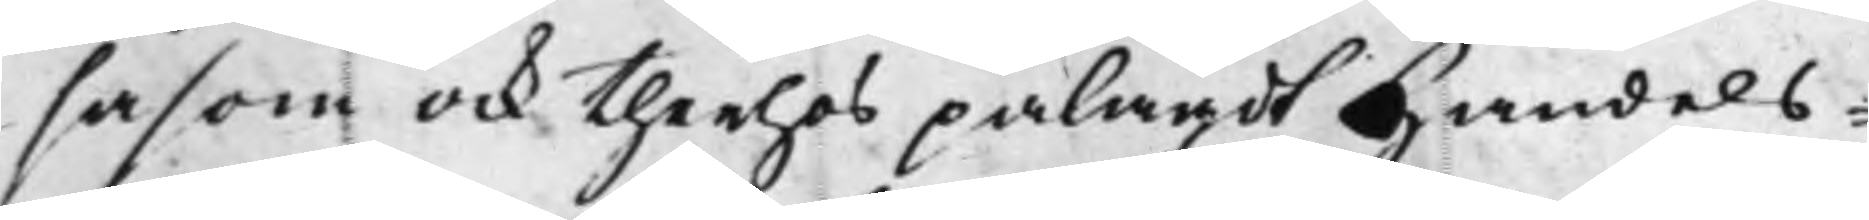såsom ock therhos pålagdt Handels¬
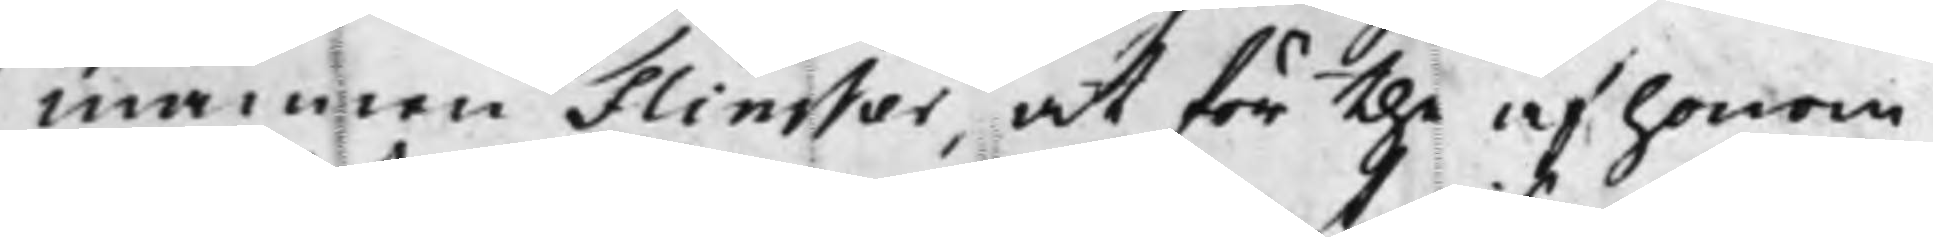mannen Flincker, at för the af honom
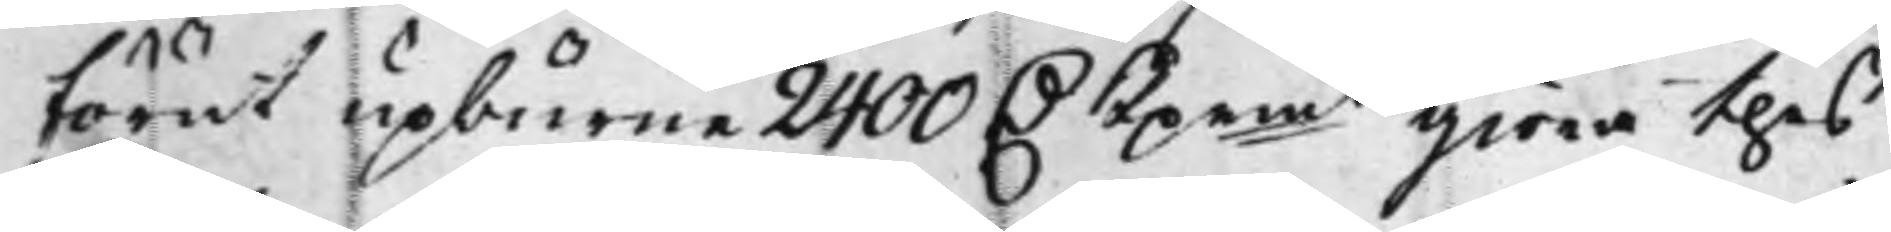förut upburne 2400 D Kprmt giöra thes 
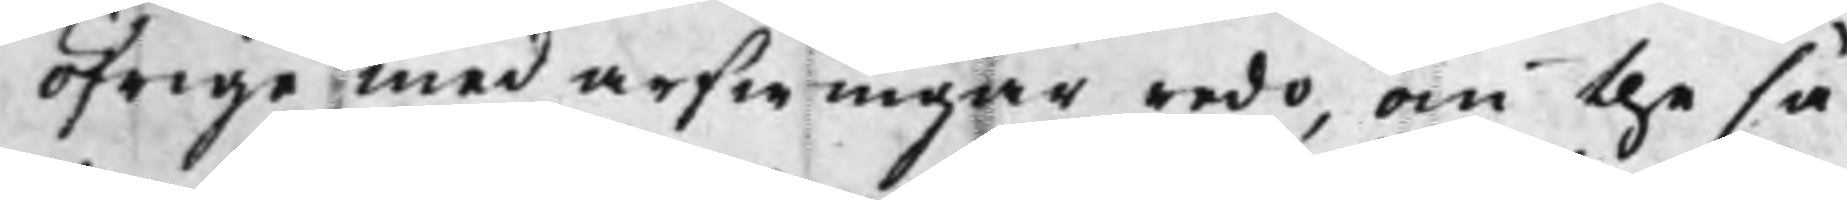öfrige medarfwingar redo, om the så¬
